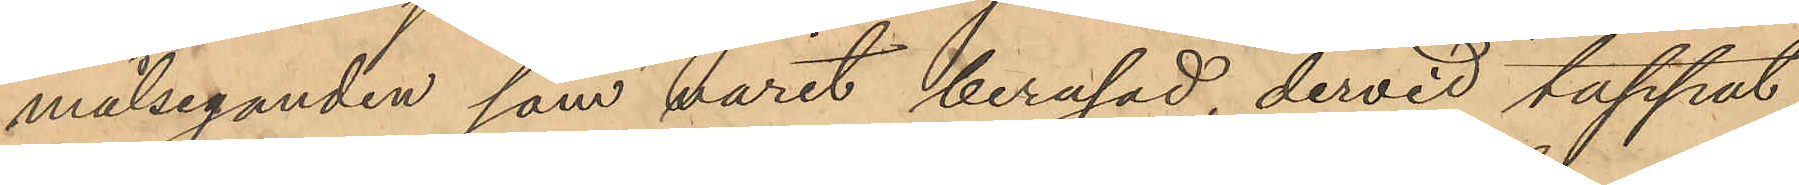målseganden, som varit berusad, dervid tappat
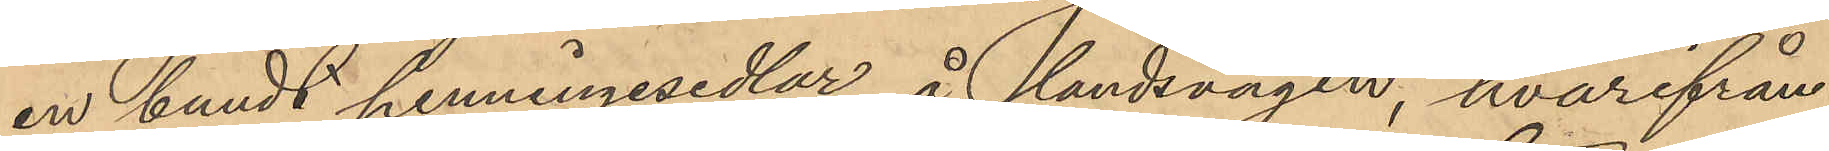en bundt penningsedlar å landsvägen, hvarifrån
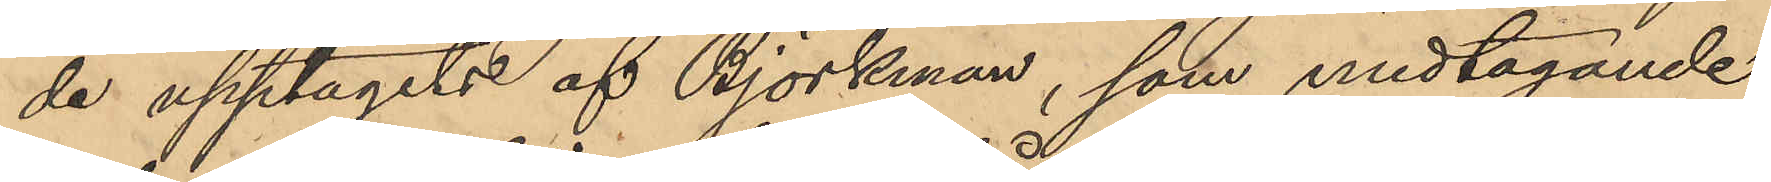de upptagits af Björkman, som medtagande
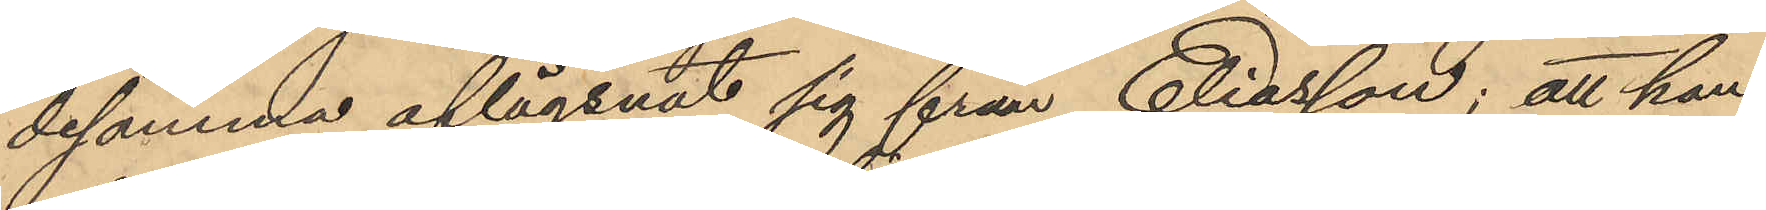desamma aflägsnat sig från Eliasson; att han
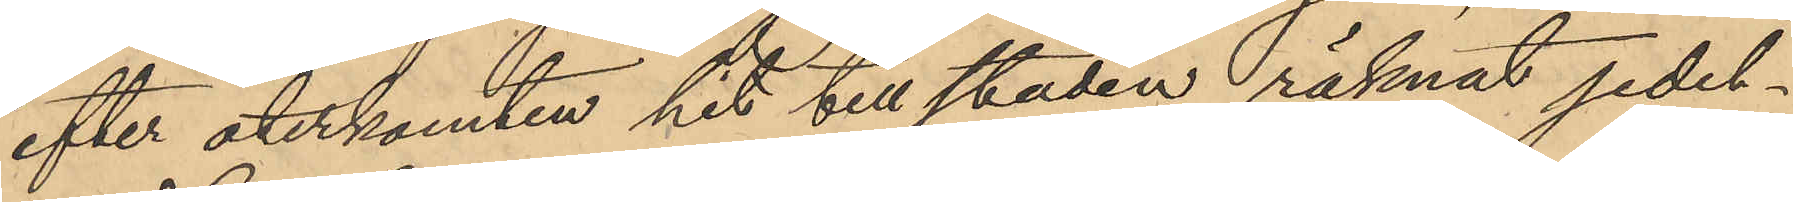efter återkomten hit till staden räknat sedel¬
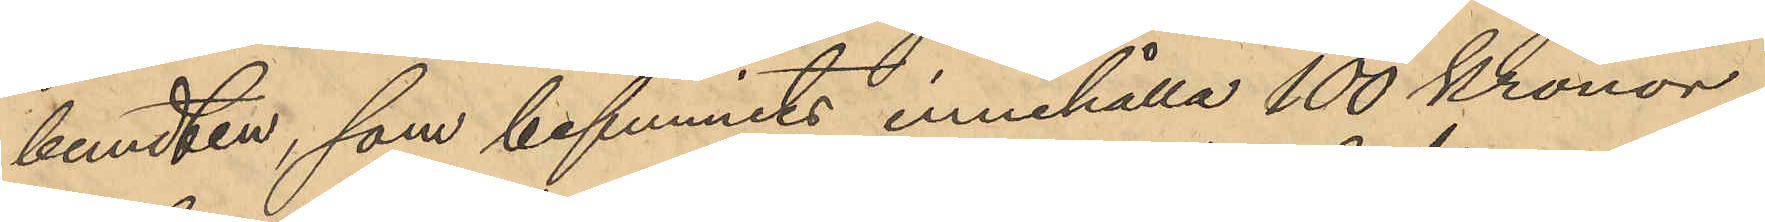bundten, som befunnits innehålla 100 Kronor
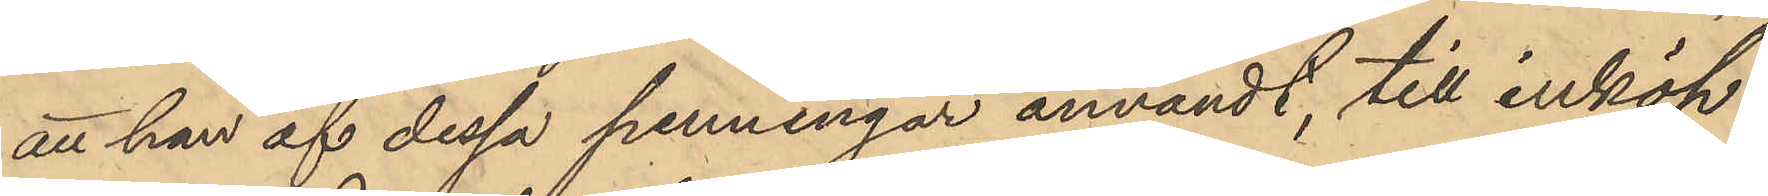att han af dessa penningar användt, till inköp
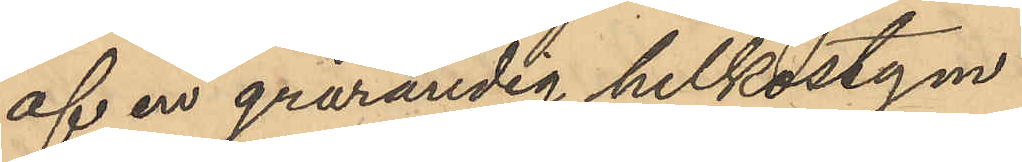af en grårandig helkostym
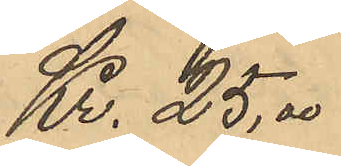Kr. 25,00
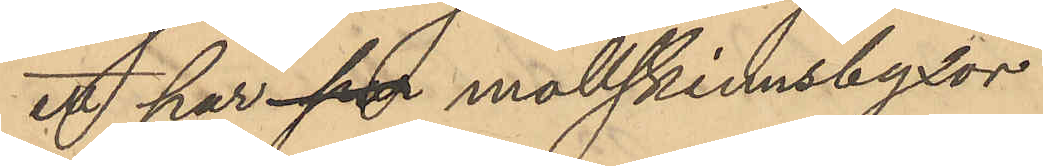ett par så mollskinnsbyxor
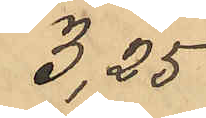3,25
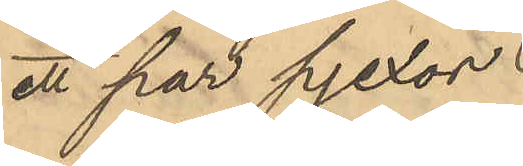ett par pjexor
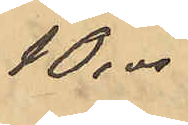10.00
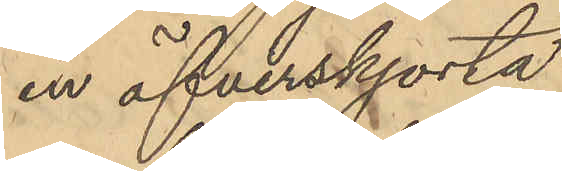en öfverskjorta
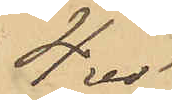4.00
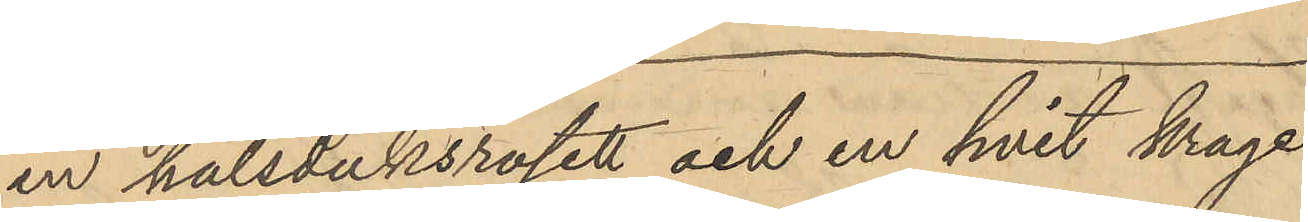en halsduksrosett och en hvit krage
